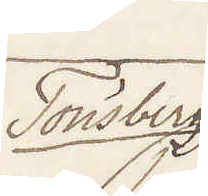Tönsberg
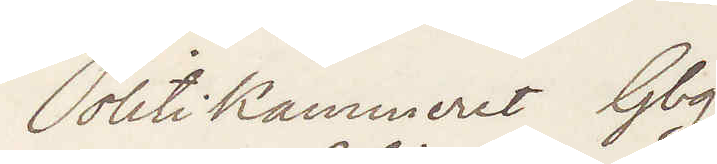Politikammeret Gbg.
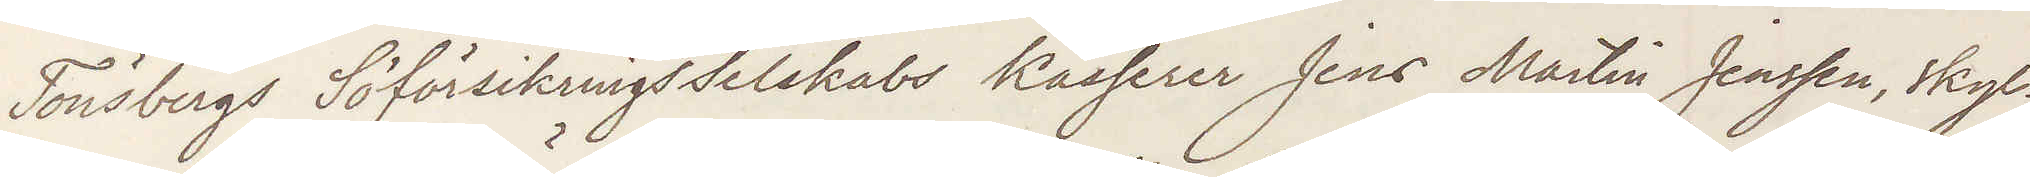Tönsbergs Söförsikrings Selskabs Kasserer Jens Martin Jensen, skyl¬
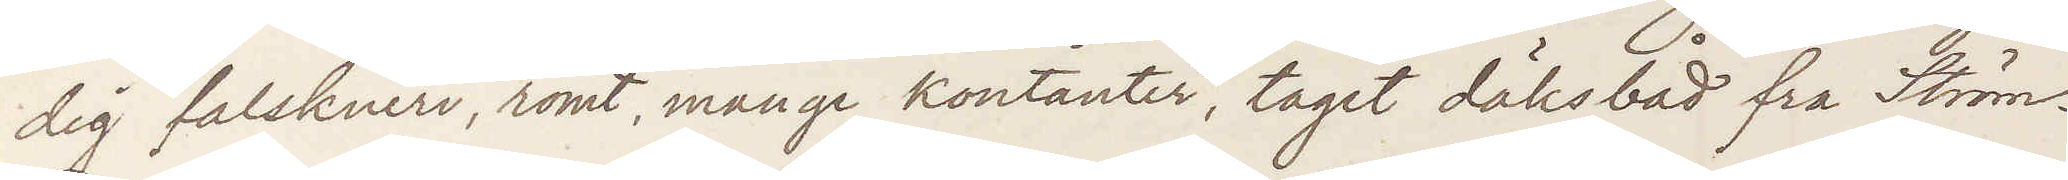dig falskneri, römt, mange Kontanter, taget däksbåd fra Ström¬
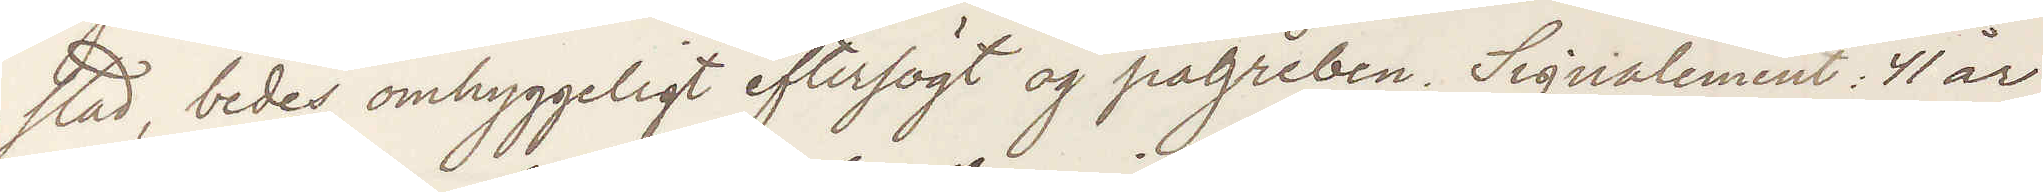stad, bedes omhyggeligt eftersögt og pågreben. Signalement: 41 år,
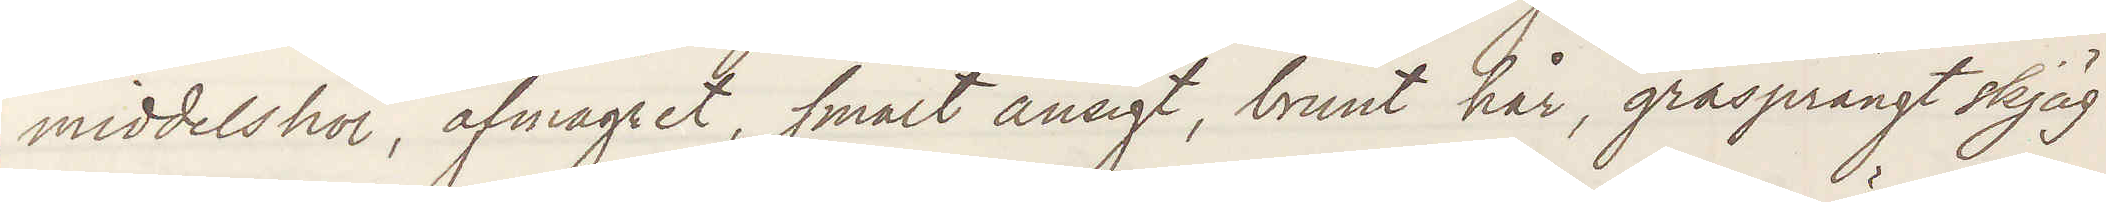middelshöi, afmagret, smalt ansigt, brunt hår, gråsprängt skjäg
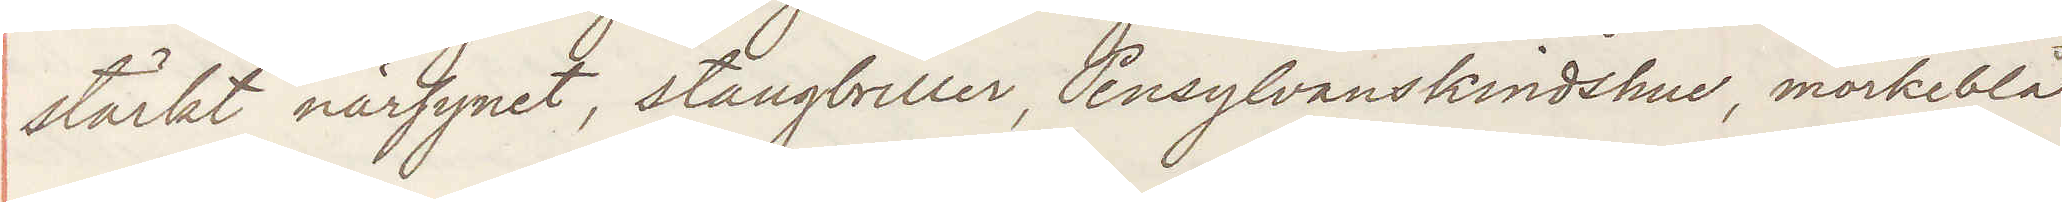starkt närsynet, stangbriller, Pensylvanskindshue, mörkblå
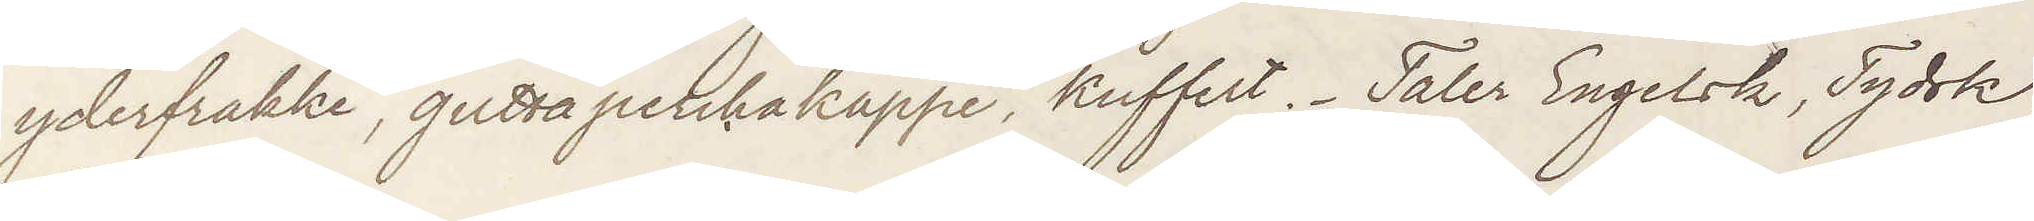yderfrakke, guttaperkakappe, kuffert. Taler Engelsk, Tydsk,
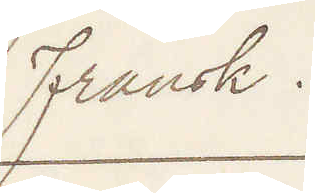Fransk.
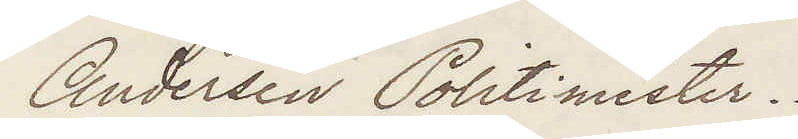Andersen Politimester.
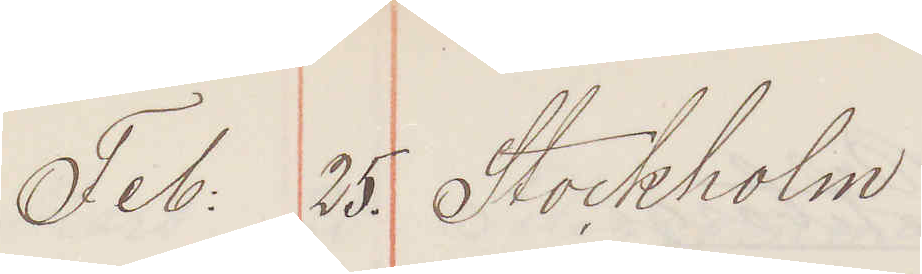Feb: 25. Stockholm
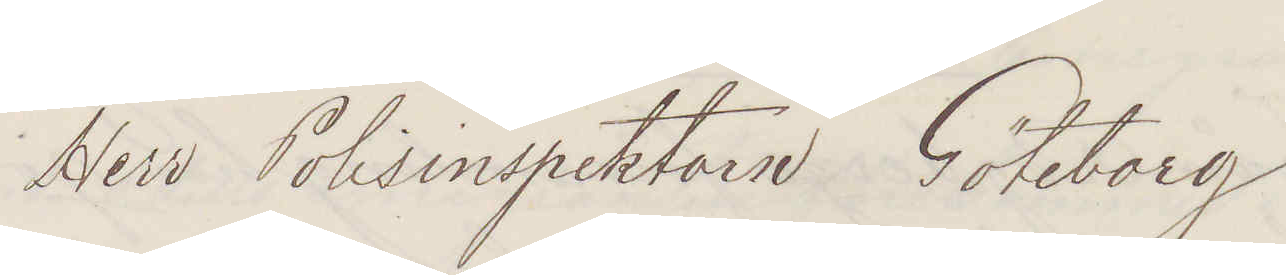Herr Polisinspektorn Göteborg
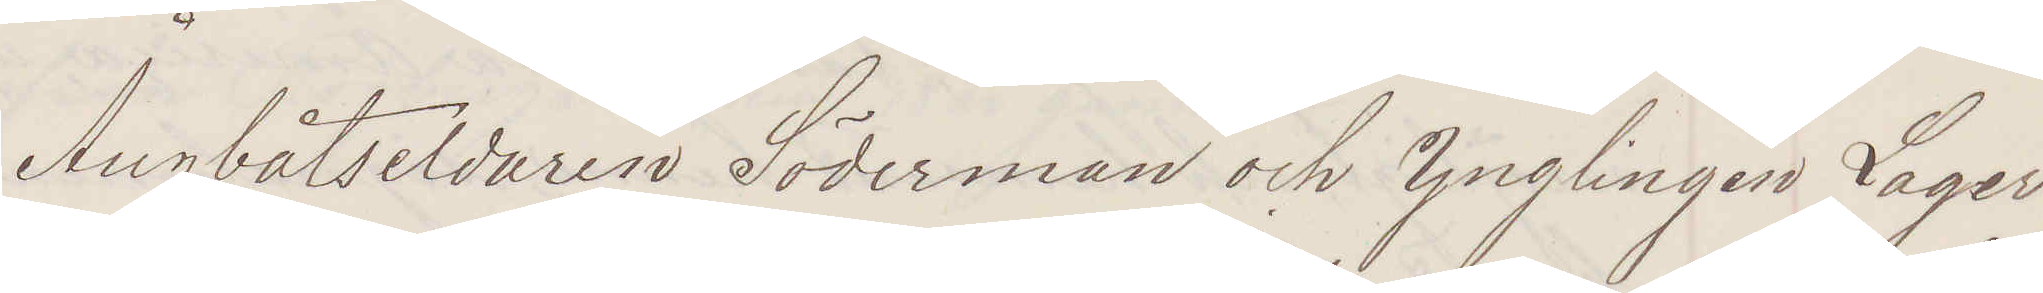Ångbåtseldaren Söderman och Ynglingen Lager
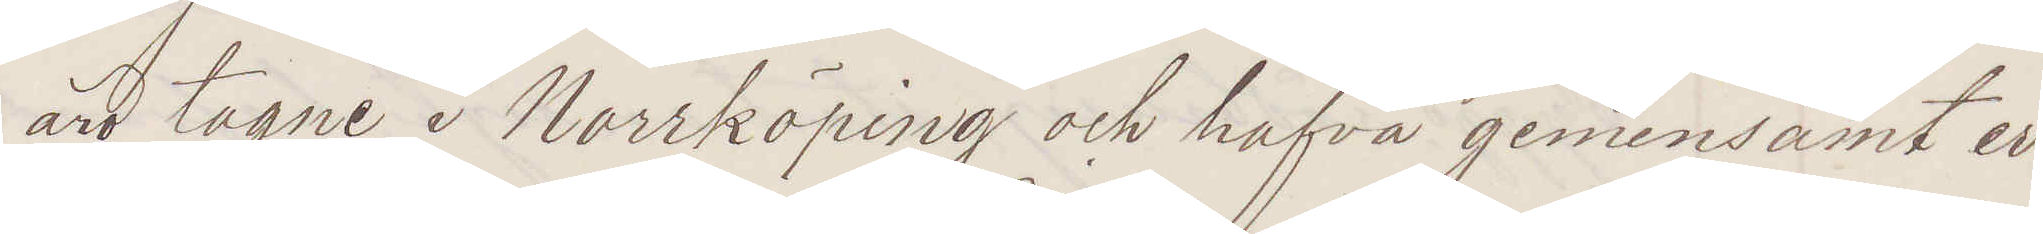äro tagne i Norrköping och hafva gemensamt er¬
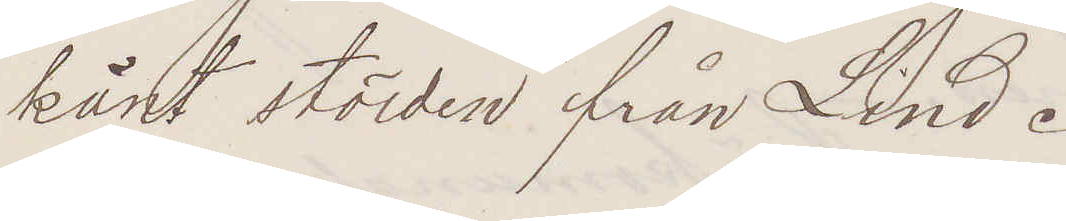känt stölden från Lind.
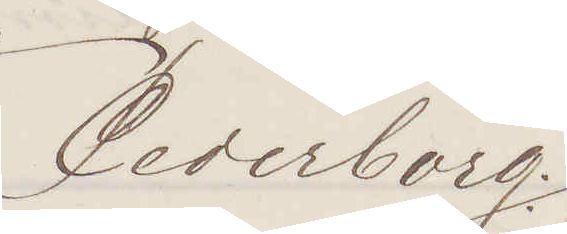Cederborg:
